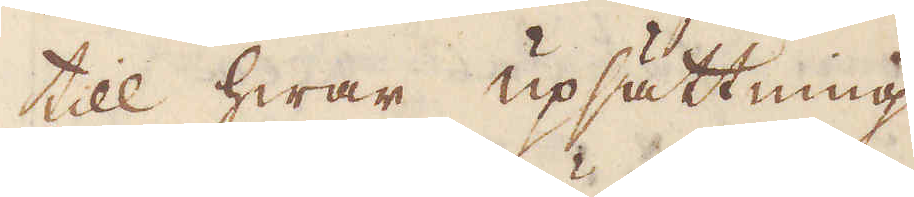till hwar upsättning
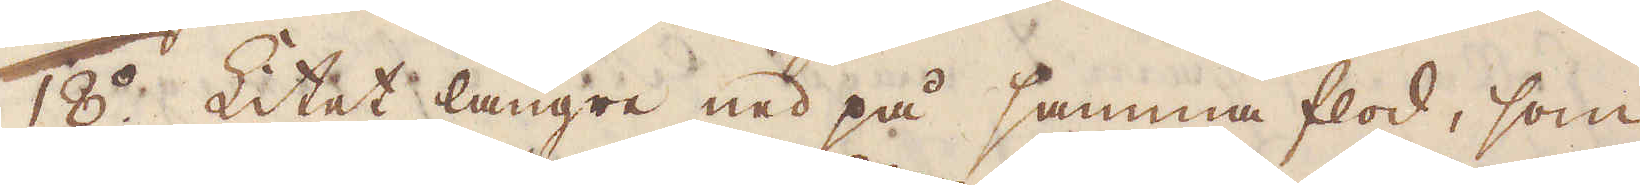18:o Litet längre ned på samma flod, som
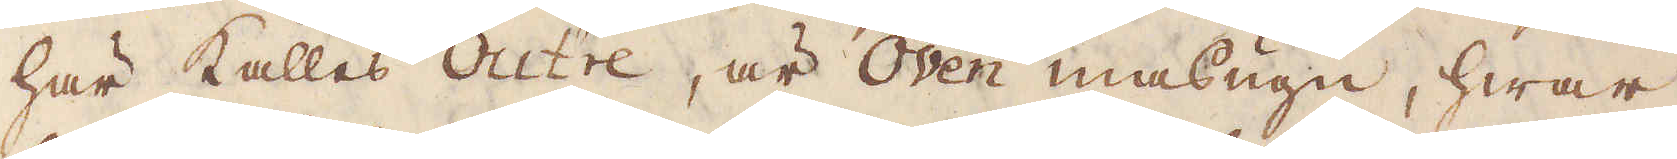här kallas Outre, är Oven masugn, hwar
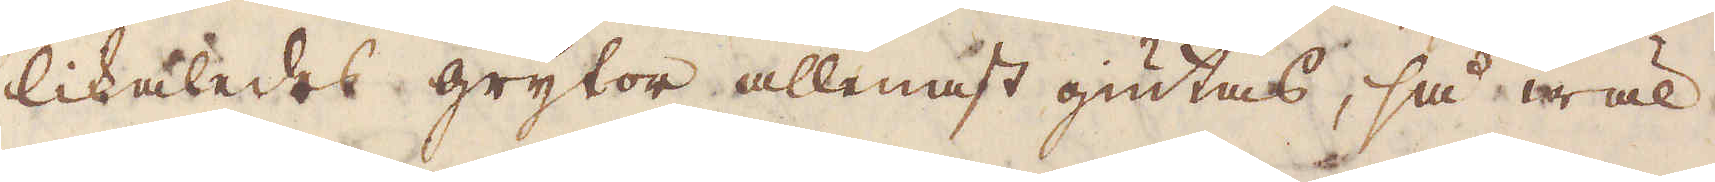likaledes grytor allenast giutas, så wäl
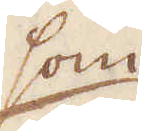som
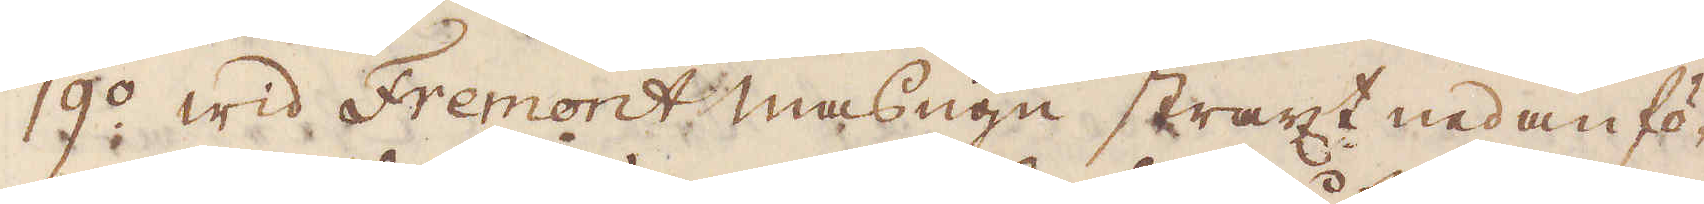19:o wid Fremont masugn straxt nedanfö-
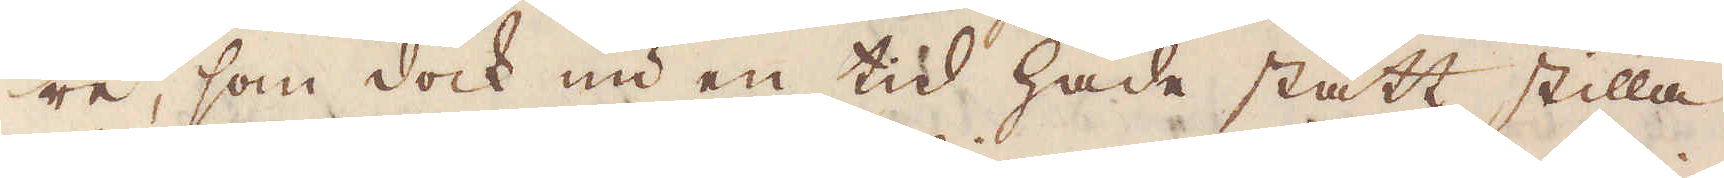re, som dock nu en tid hade stått stilla.
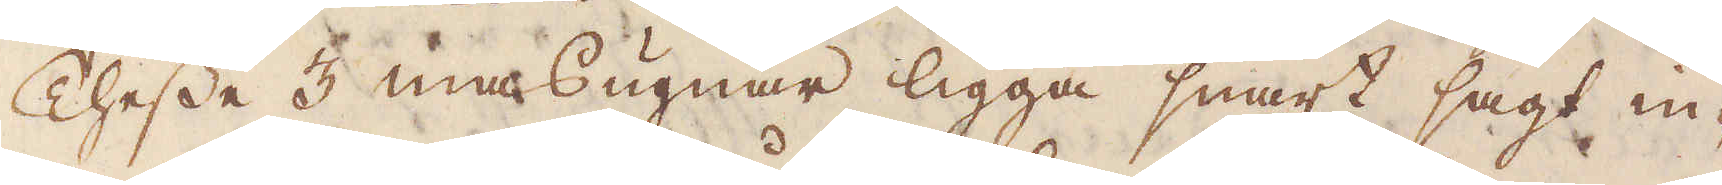Thesse 3 masugnar ligga snart sagt in-
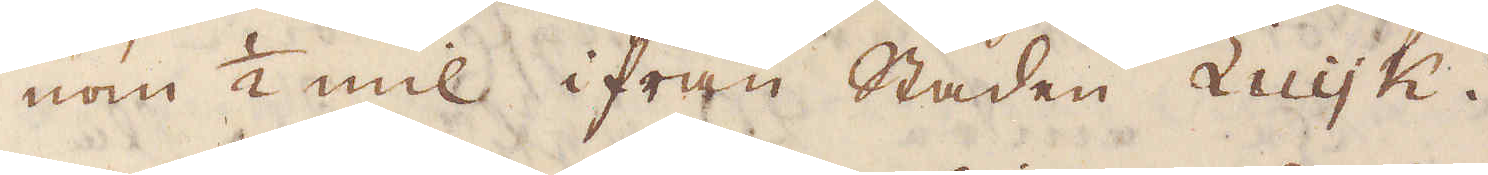nom 1/2 mil ifrån Staden Luyk.
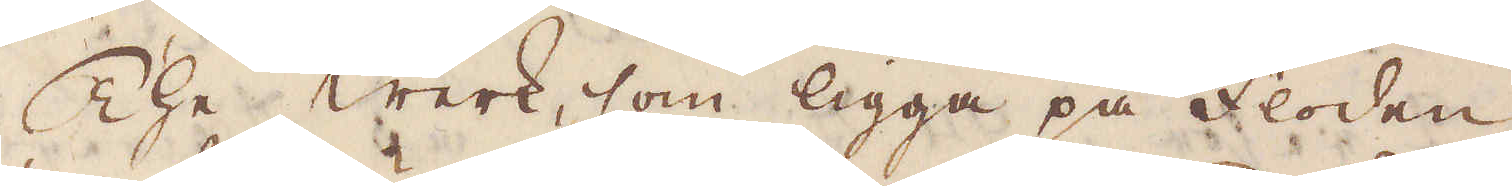The werk, som ligga på floden
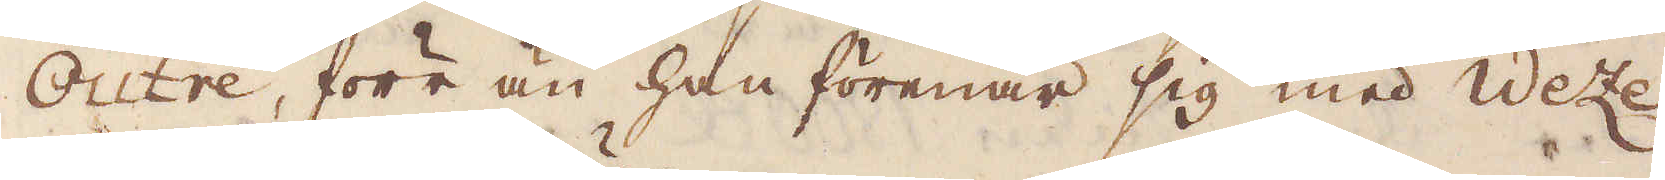Outre, förr än han förenar sig med Weze
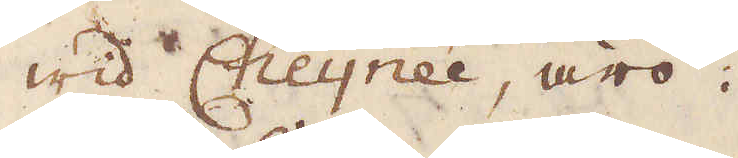wid Cheynée, äro.
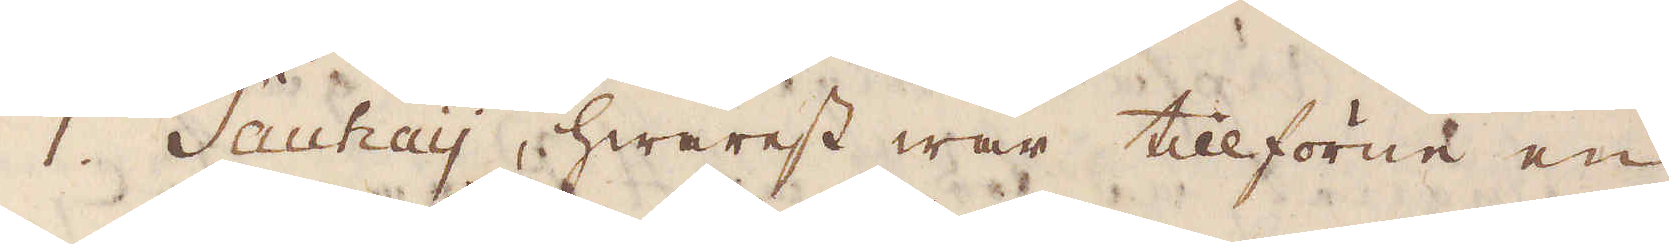1. Sauhay, hwarest war tillförene en
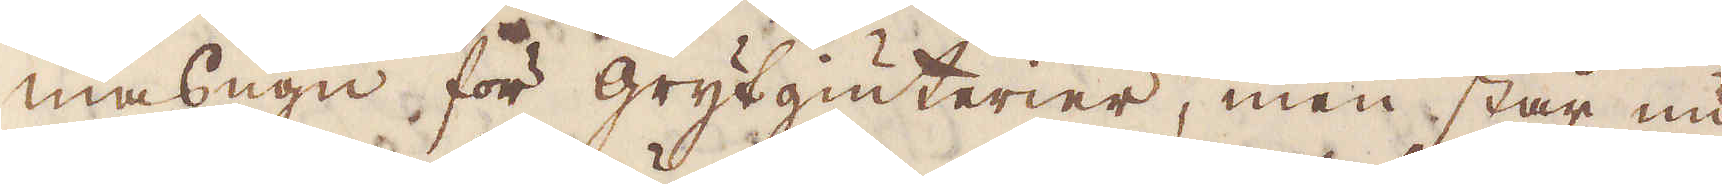masugn för grytgiuterier, men står nu
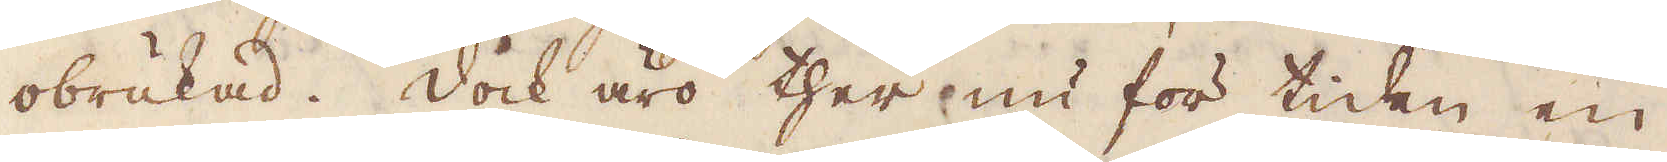obrukad. Dock äro ther nu för tiden en
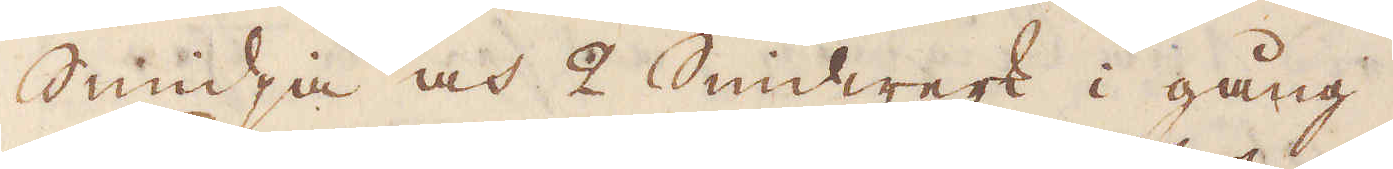Smidja och 2 Smidwerk i gång.
